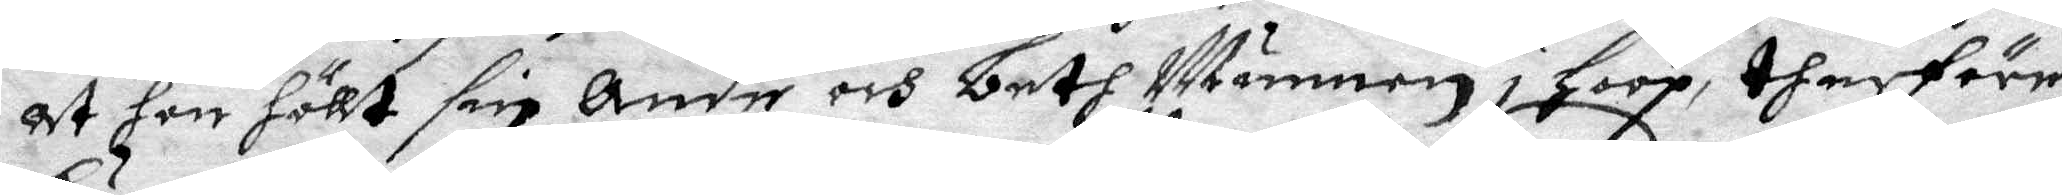at hon höllt sin anda och beth Munnen i Hoop, therföre
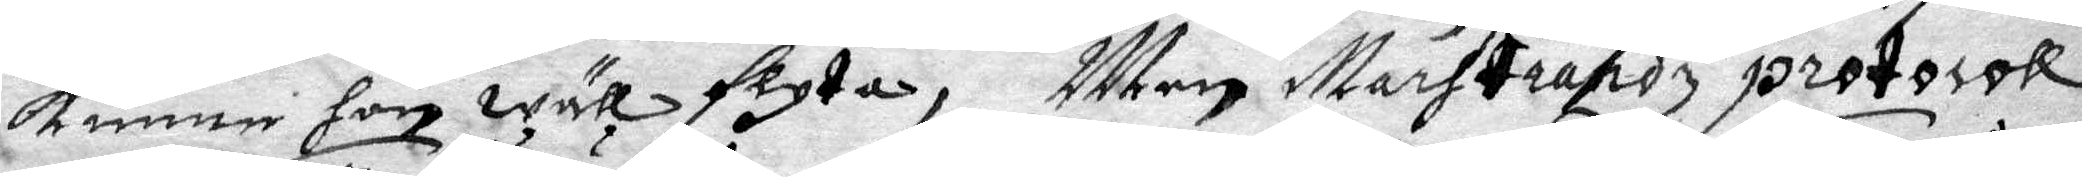kunne hon wäll flyta, Men Marstrandz protocoll
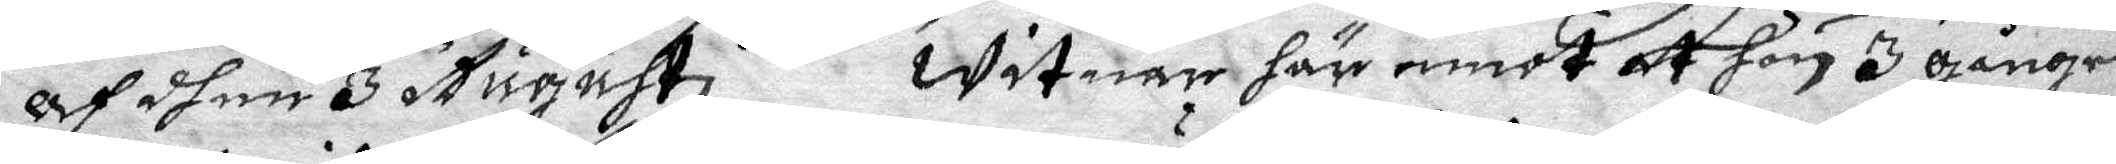af dhen 3 Augusti witnar här emot at hon 3 gånger
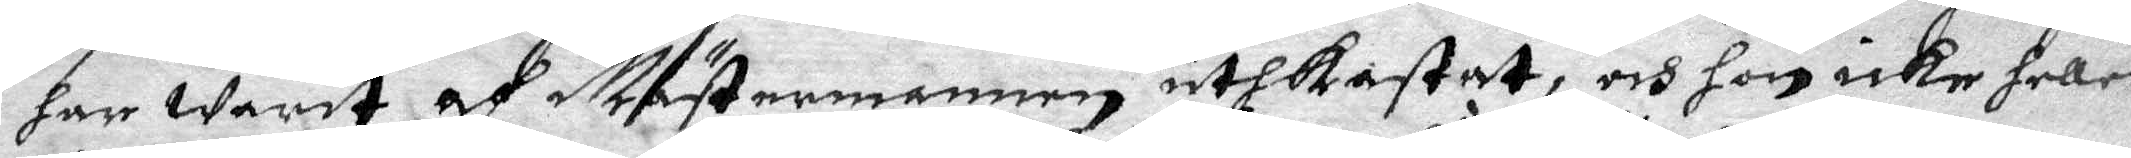har warit af Mästermannen uthkastat, och hon icke heller
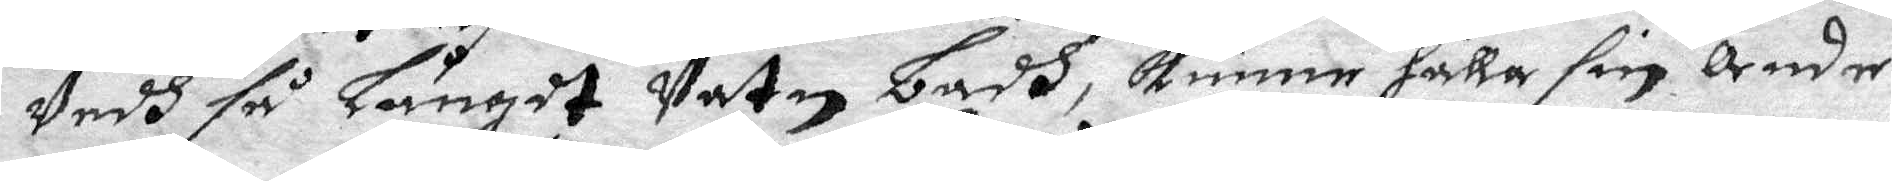Vedh så långdt Vatn Badh, kunne hålla sin anda,
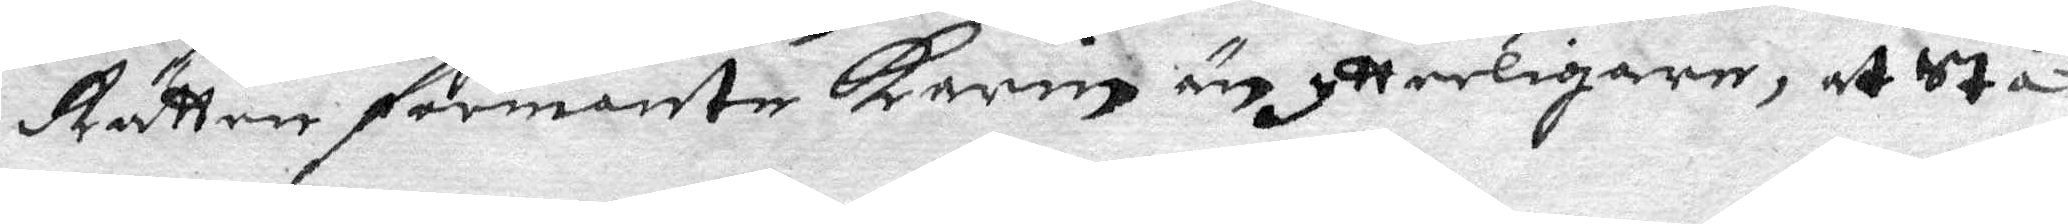Rätten förmante Karin än ytterligare, att stå
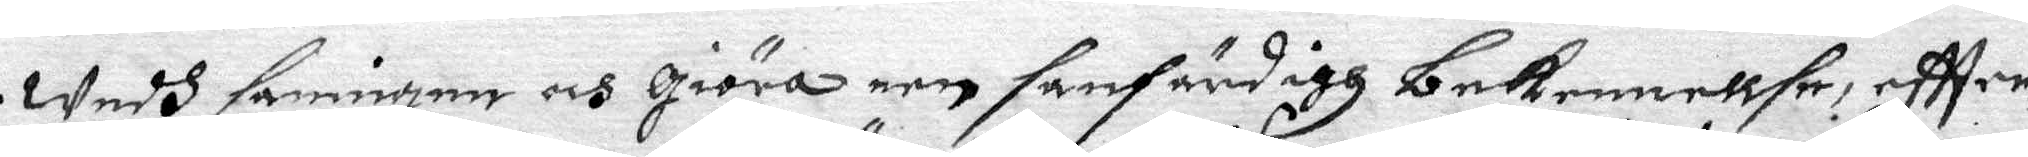Wedh sanningen och giöra een sanfärdigh bekennellse, eftter¬
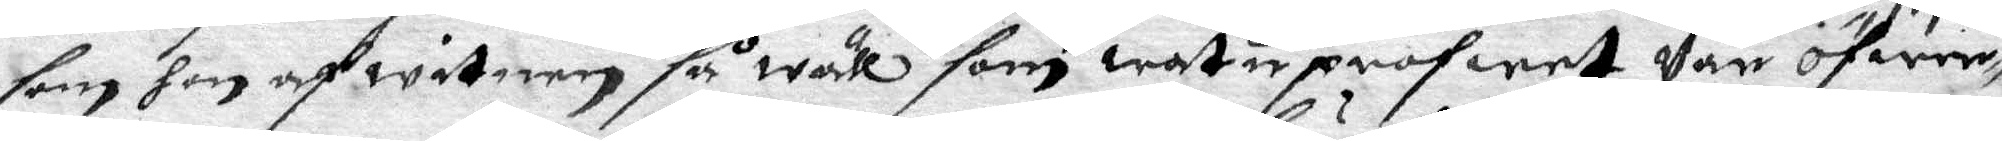som hon af witnen så wäll som watuprogwet Var öfwer¬
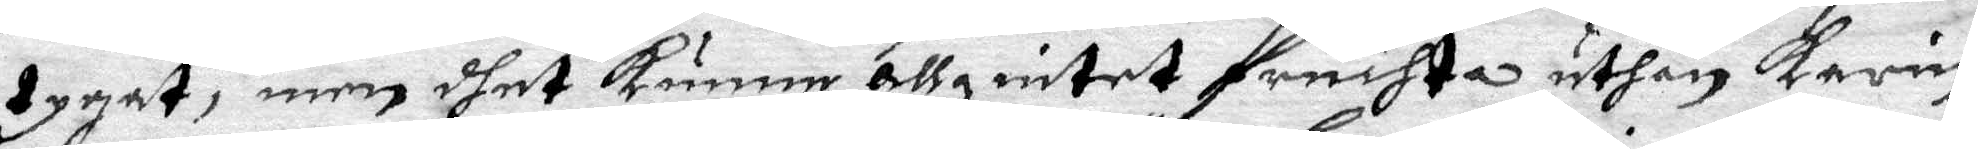tygat, men dhet kunne allzintet fruchta uthan Karin
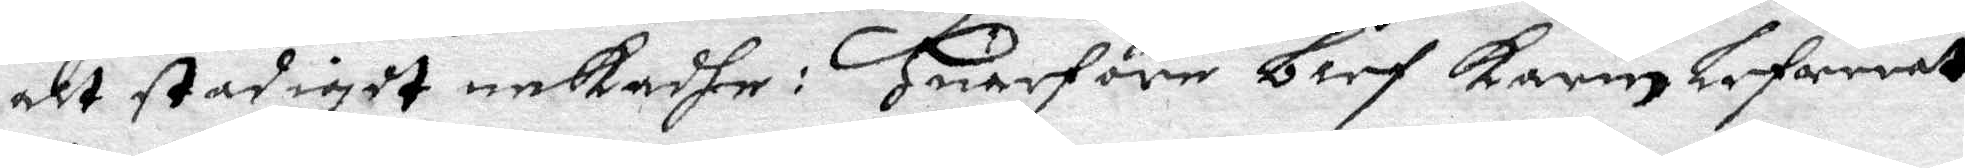alt stadigdt nekadhe: Huarföre blef Karin lefwerat
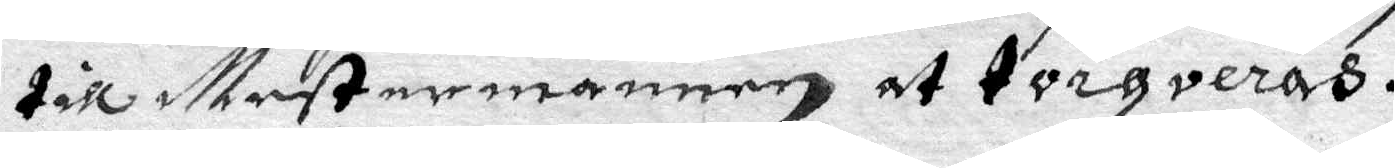till Mestermannen at torqveras.
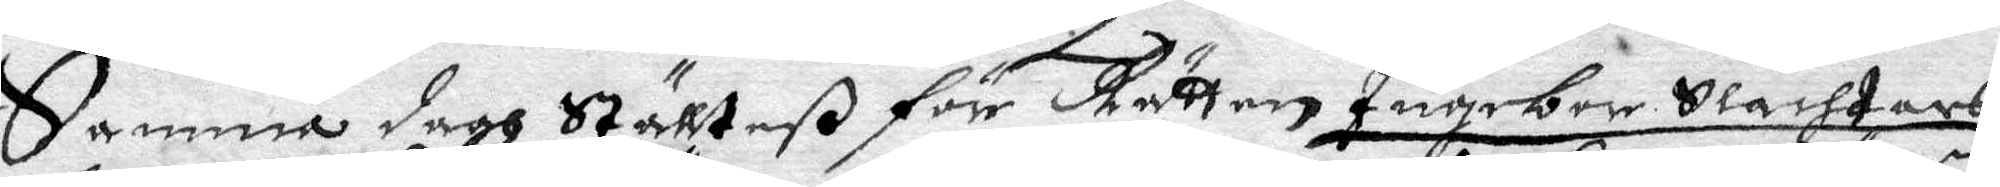Samma dagh Ställteß för Rätten Ingebor Slachtars
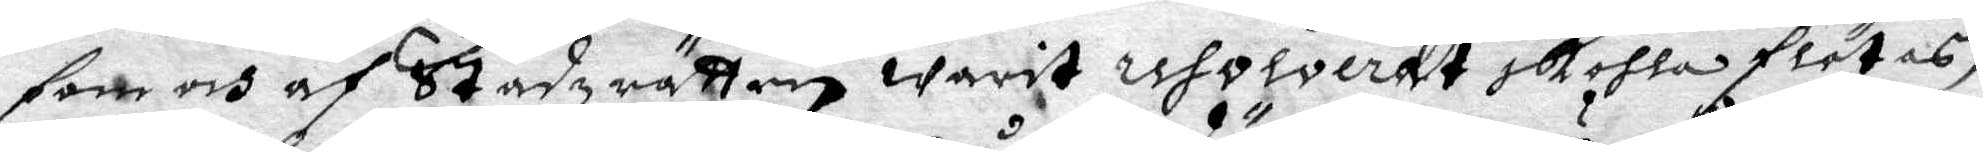som och af Stadzrätten warit resolverat skohla flötas,
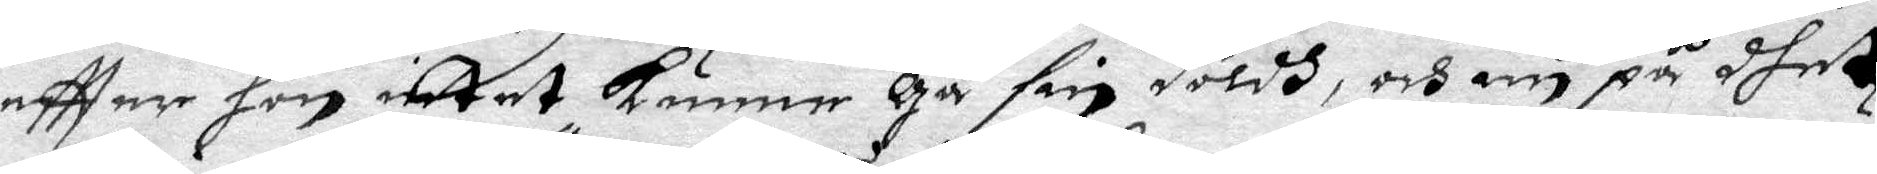eftter hon intet kunne gå sin döldh, och nu på dhet
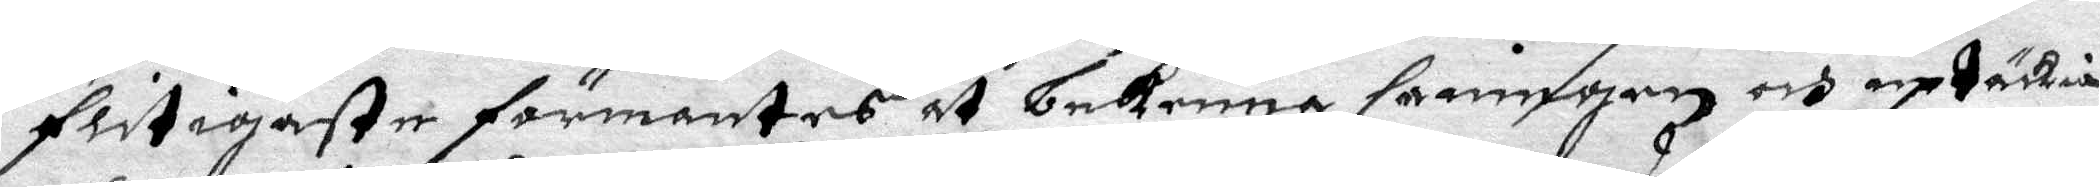flitigaste förmantes at bekenna sanningen och uptäckia
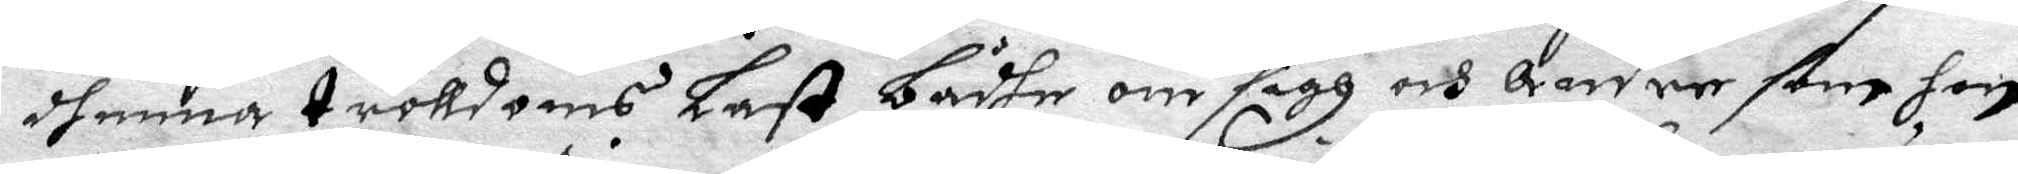dhenna tolldoms Last bådhe om sigh och andre som hon
